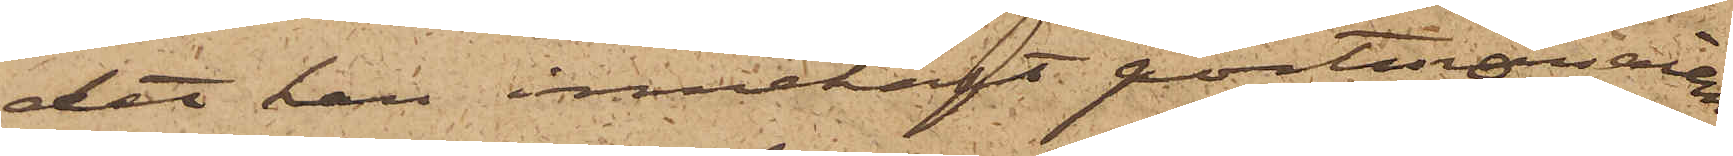det han innehaft portmonnaien,
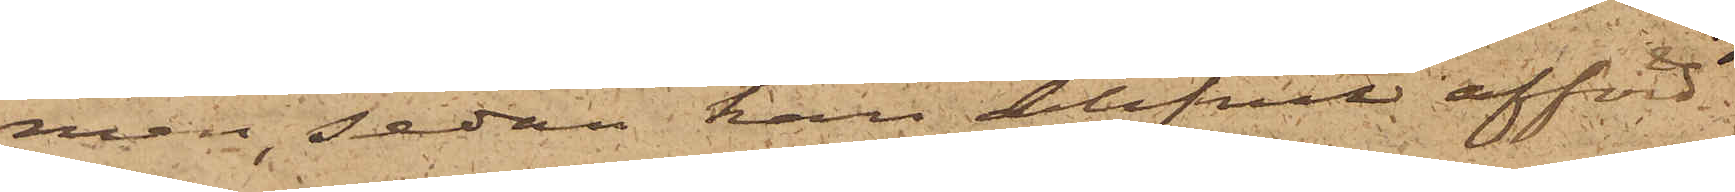men, sedan han blifvit afförd
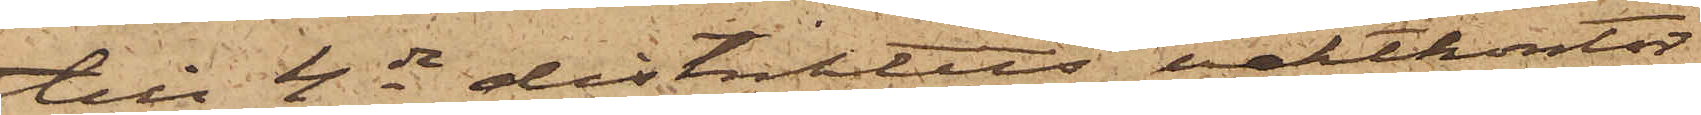till 4de distriktets vaktkontor
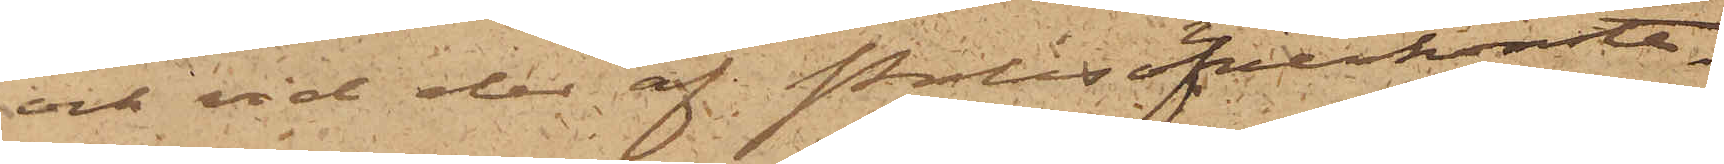och vid den af Polisöfverkonsta¬
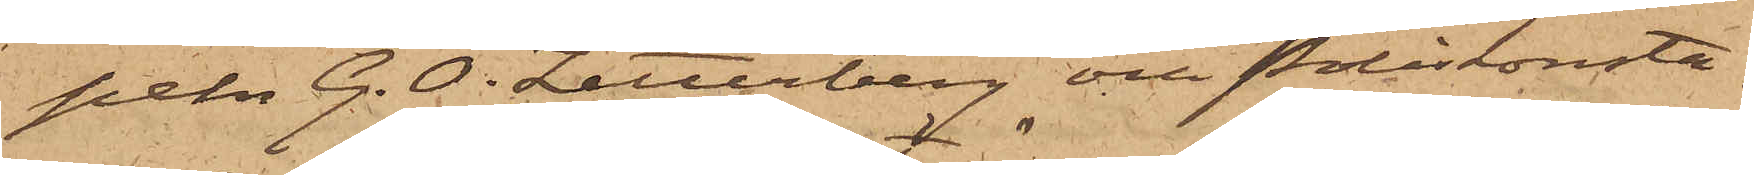peln G. O. Zetterberg och Poliskonsta¬
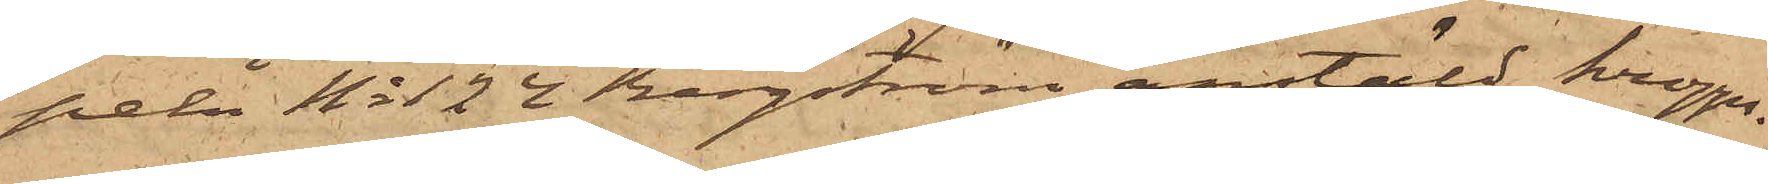peln No 124 Bergström anstäld kropps¬
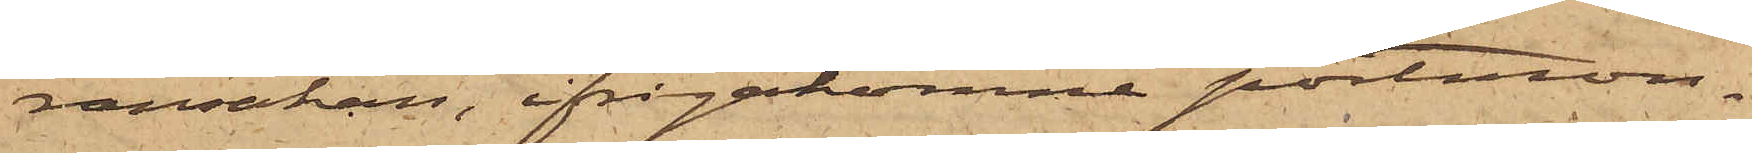ransakan, ifrågakomne portmon¬
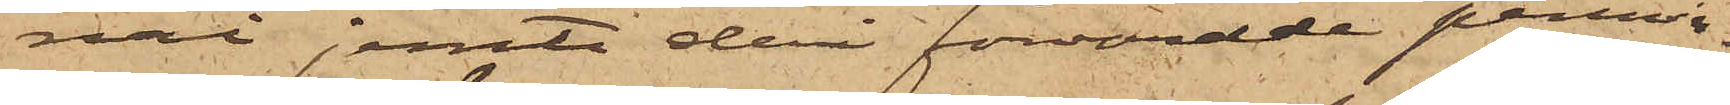nai jemte deri förvarade pennin¬
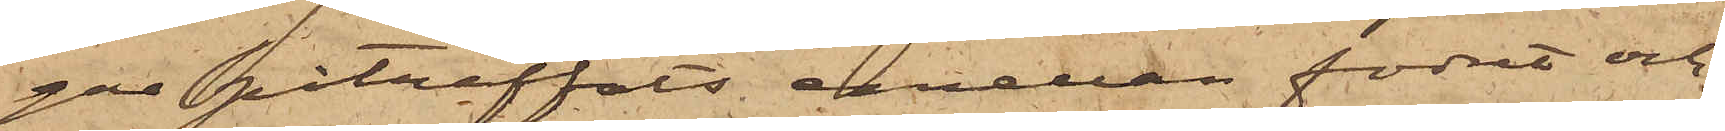gar påträffats mellan fodret och
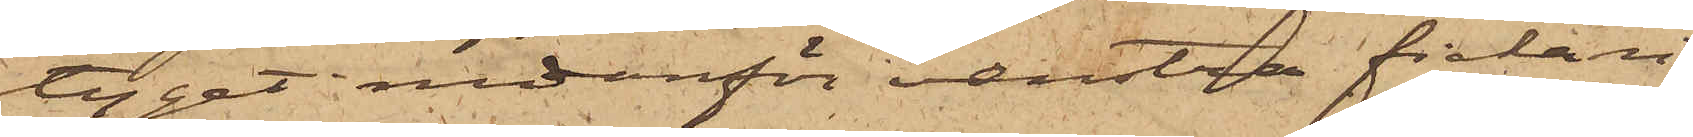tyget nedanför venstra fickan
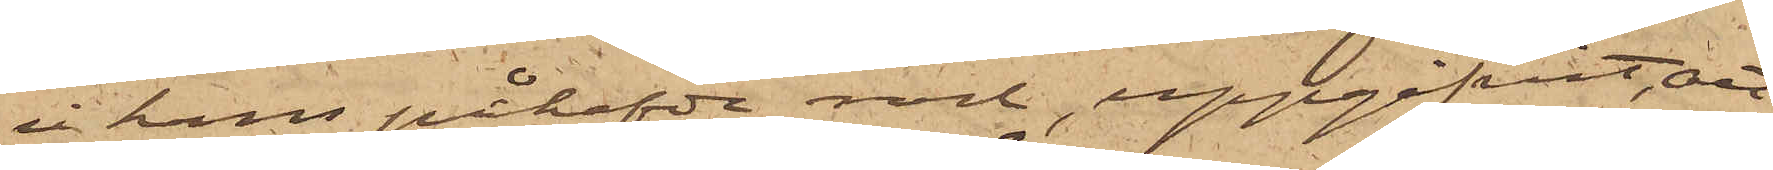i hans påhafvde rock, uppgifvit, att
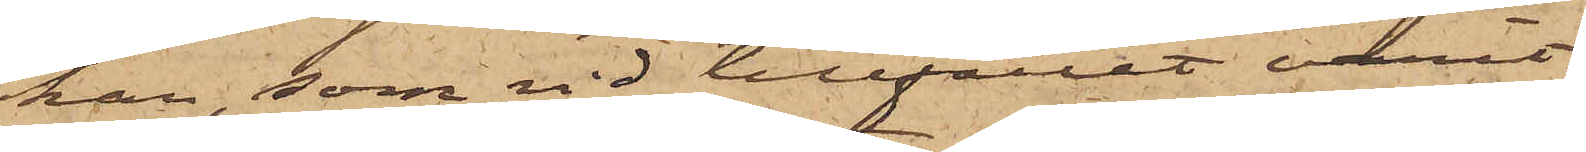han, som vid tillfället varit
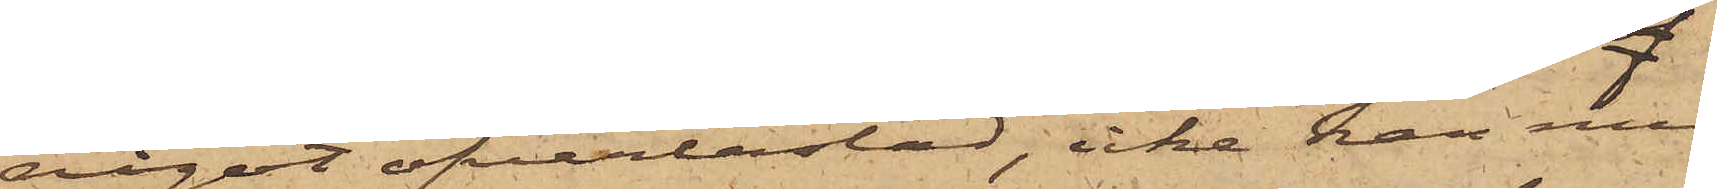något öfverlastad, icke kan med
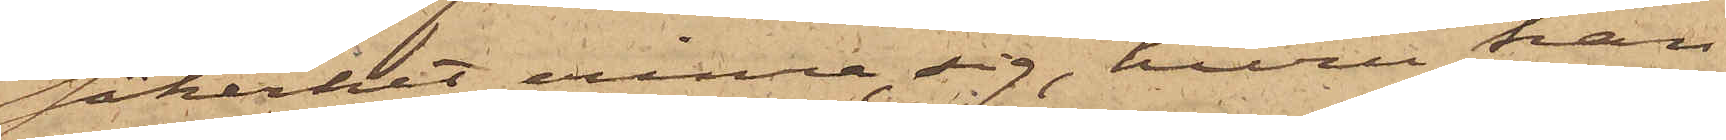säkerhet erinra sig, huru han
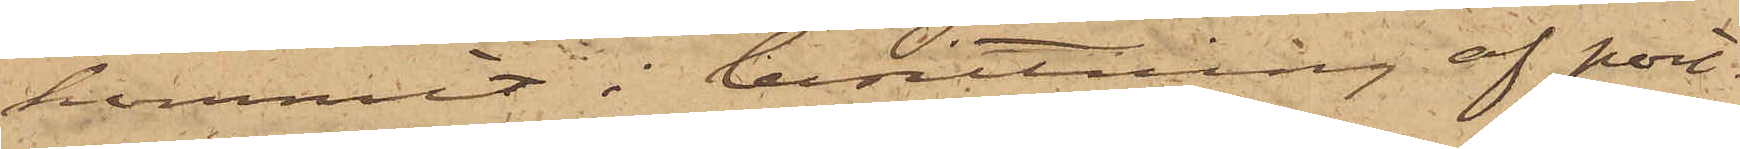kommit i besittning af port¬
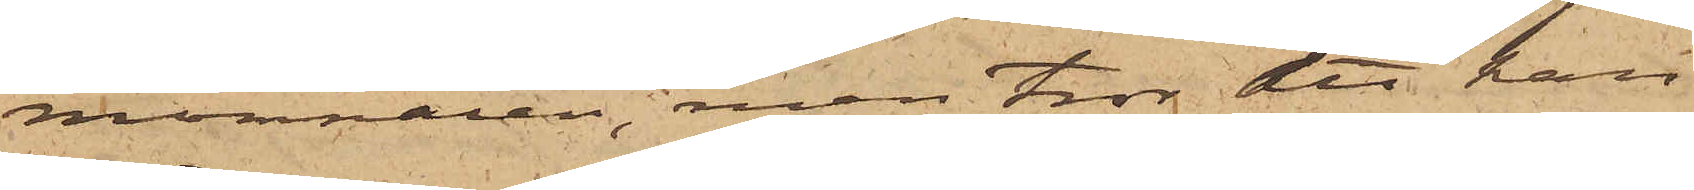monnaien, men tror det han
